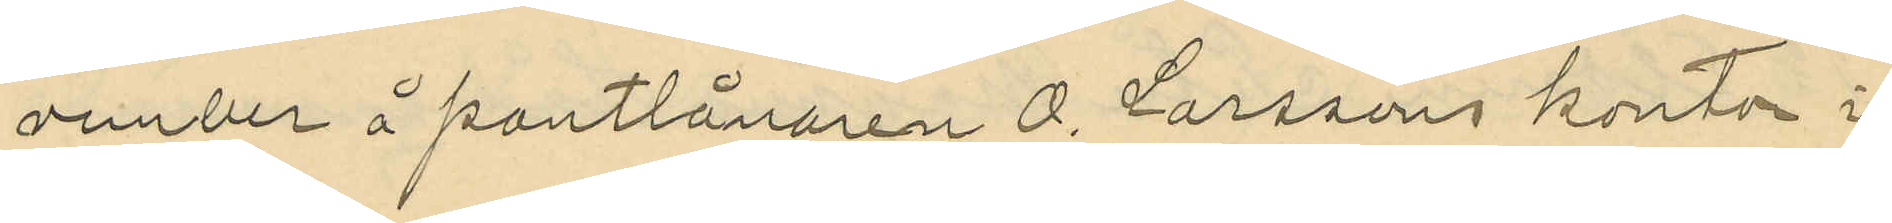vember å pantlånaren A. Larssons kontor i
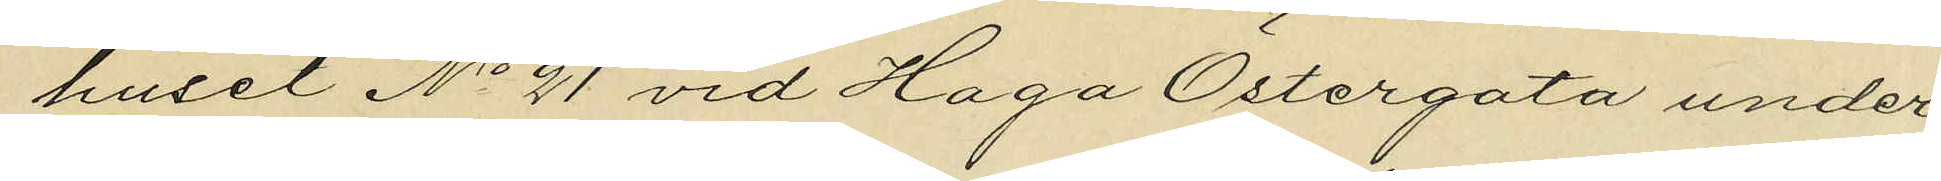huset No 21 vid Haga Östergata under
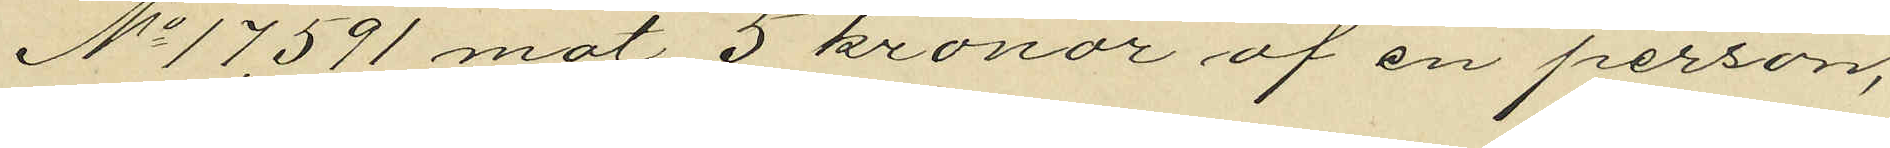No 17,591 mot 5 kronor af en person,
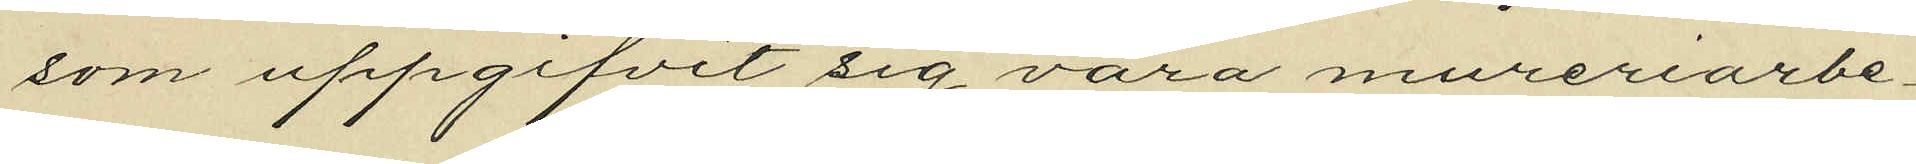som uppgifvit sig vara mureriarbe¬
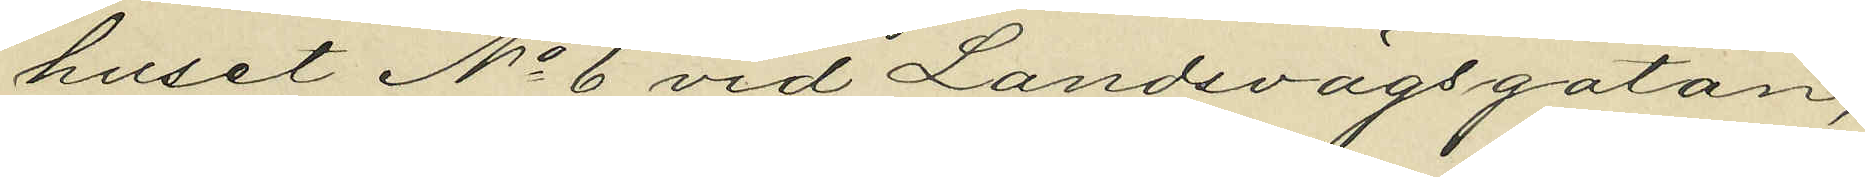huset No 6 vid Landsvägsgatan;
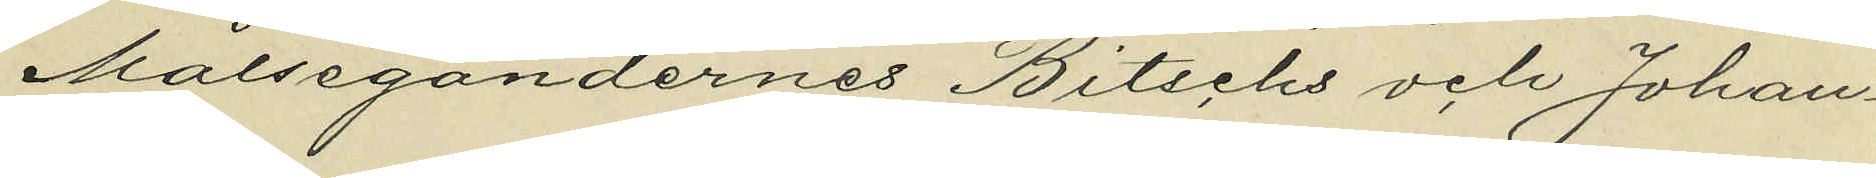Målsegandernes Bitschs och Johan¬
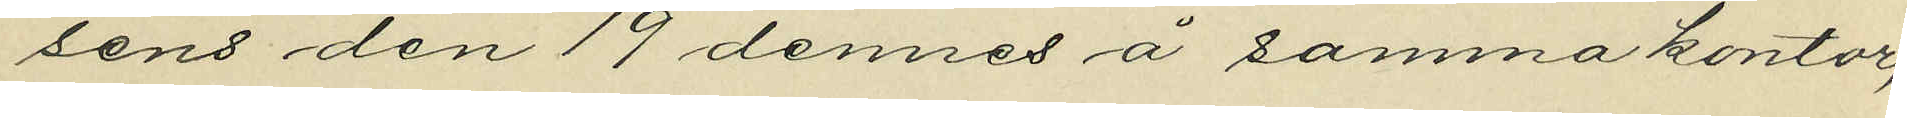sons den 19 dennes å samma kontor,
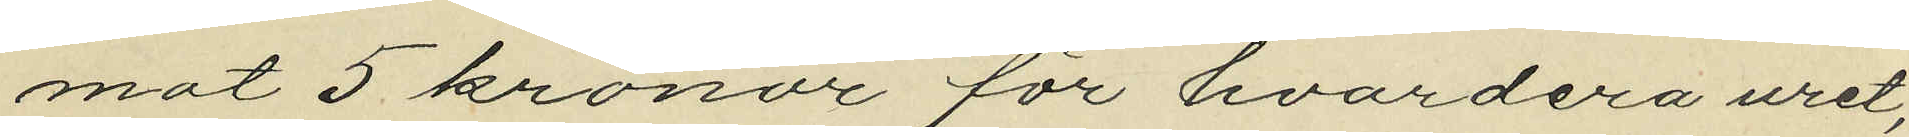mot 5 kronor för hvardera uret,
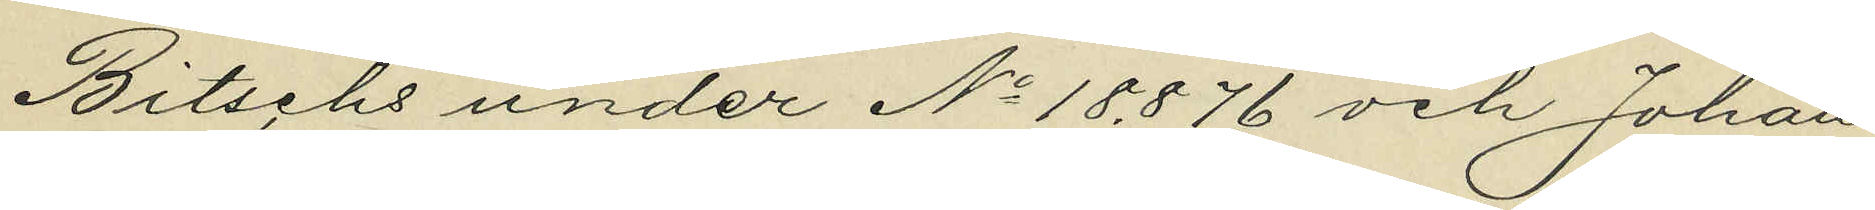Bitschs under No 18876 och Johan
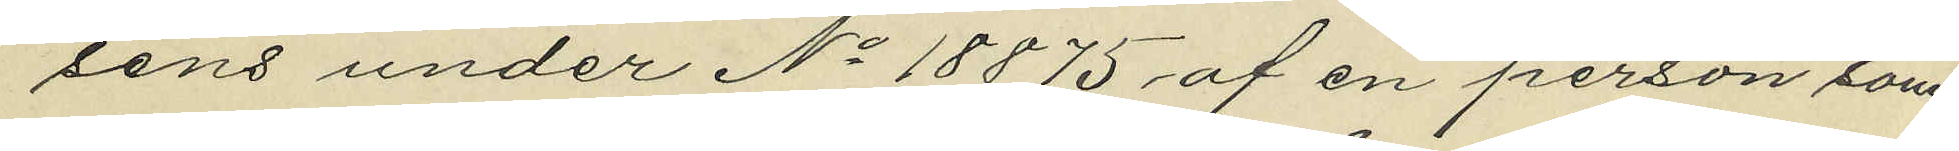sens under No 18875, af en person som
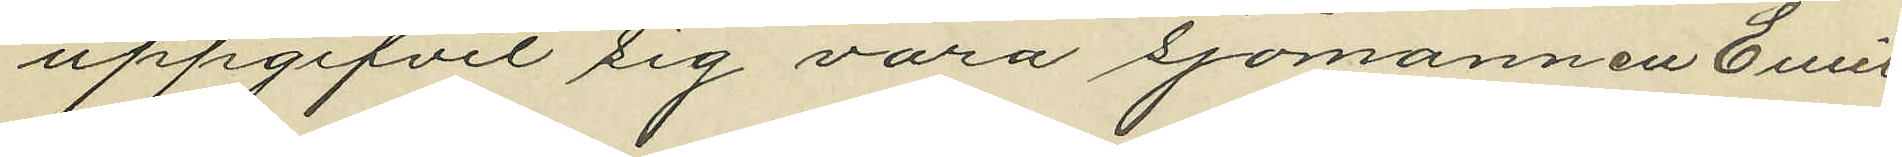uppgifvit sig vara sjömannen Emil
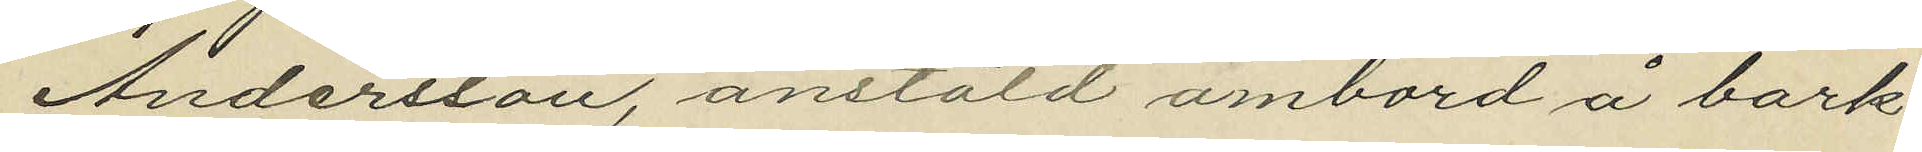Andersson, anstäld ombord å bark¬
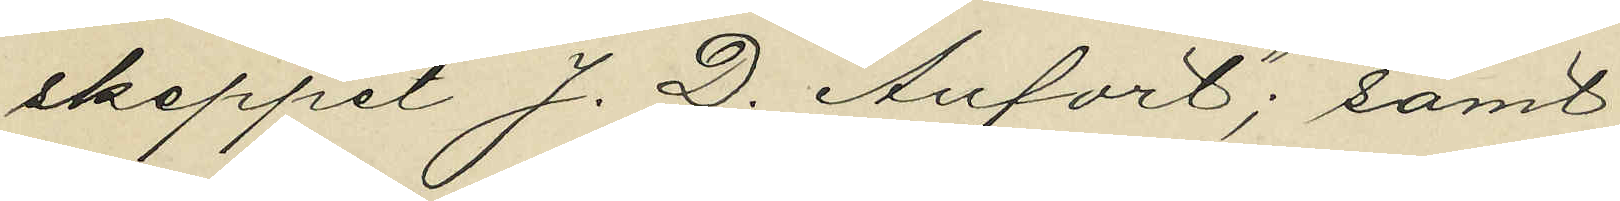skeppet "J. D. Aufort"; samt
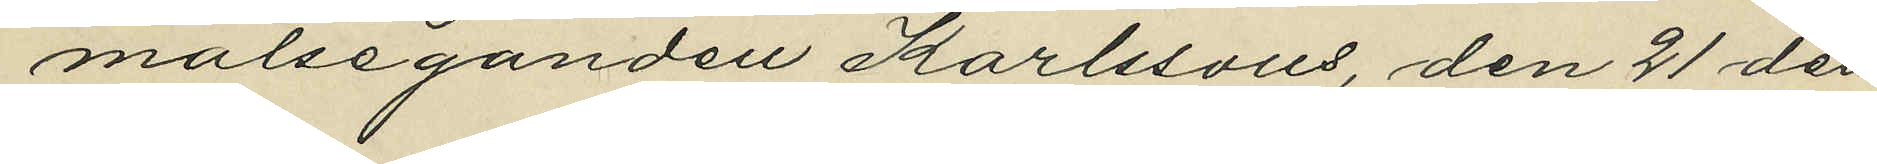målseganden Karlssons, den 21 den¬
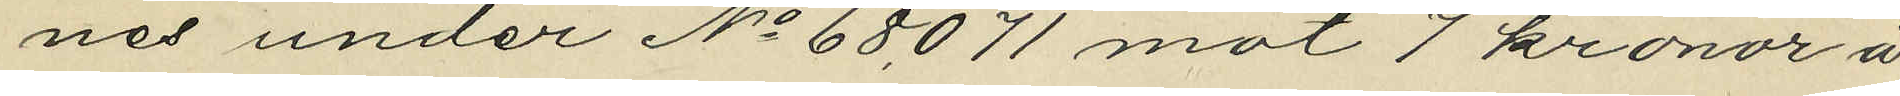nes under No 68071 mot 7 kronor å
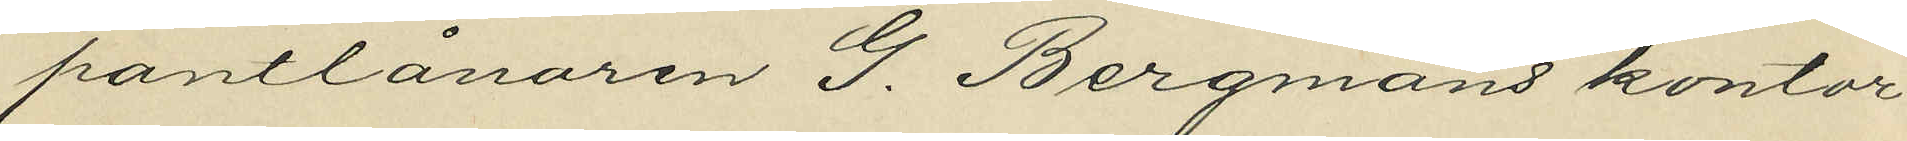pantlånaren G. Bergmans kontor
